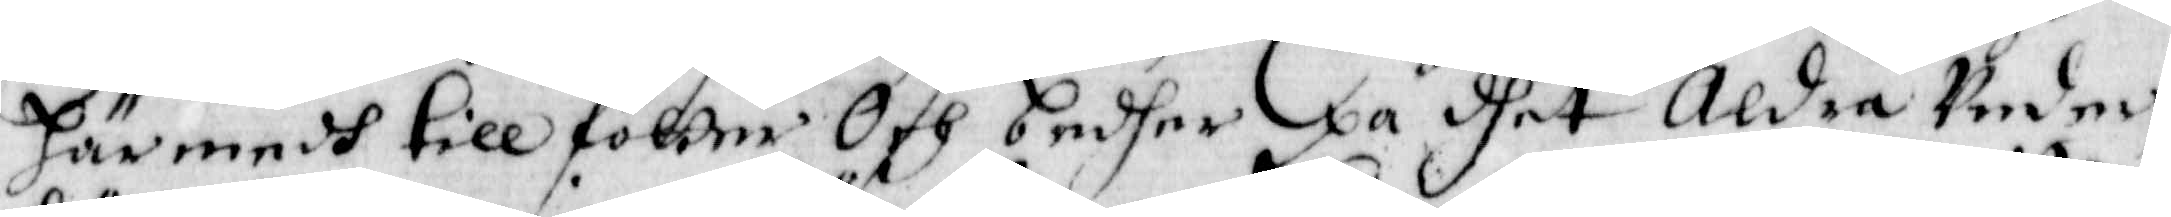Härmedh till fötter Och bedher på dhet Aldra under¬
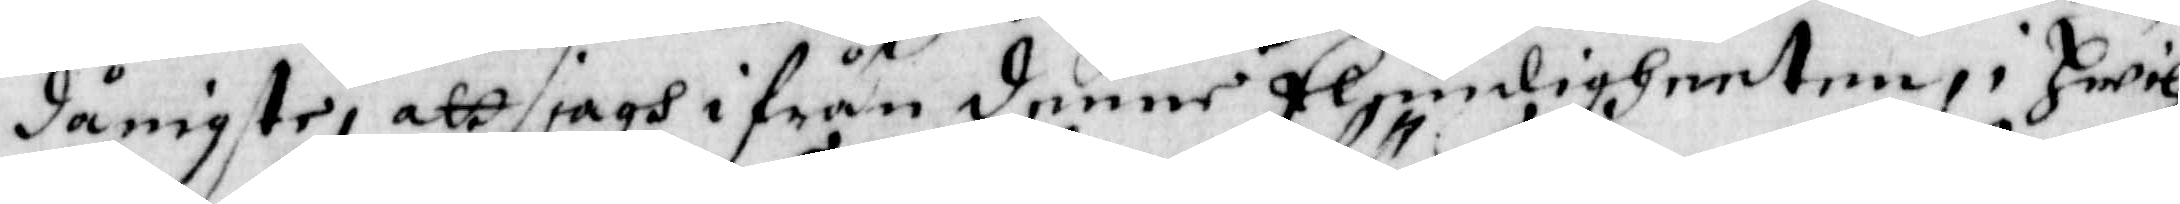dånigste, att jagh ifrån denne Elendigheeten i Hwil¬
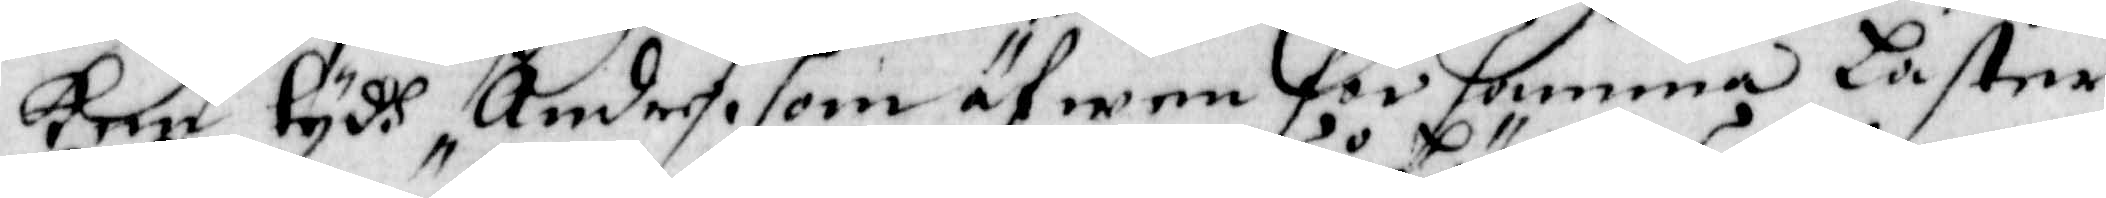ken tydh Andre som äfwen för samma Laster
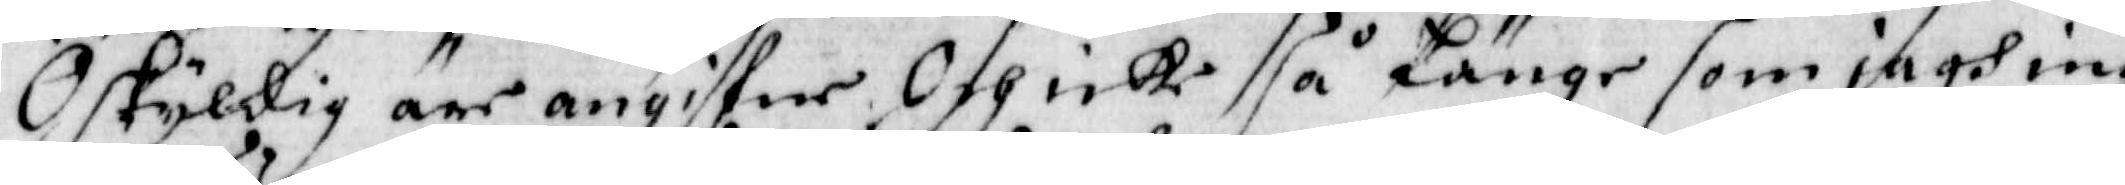Oskyldig äre angifne Och icke så Länge som jagh in¬
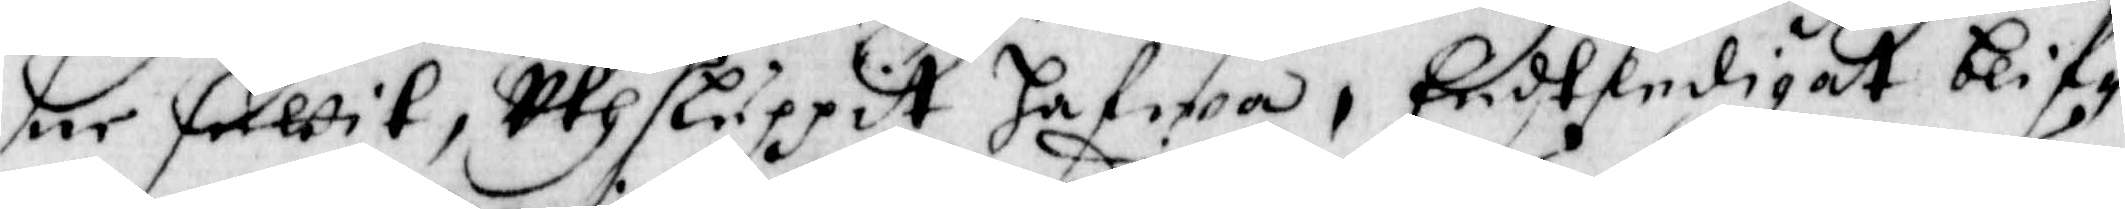ne suttit, uthsluppit Hafwa, Endtledigat blif¬
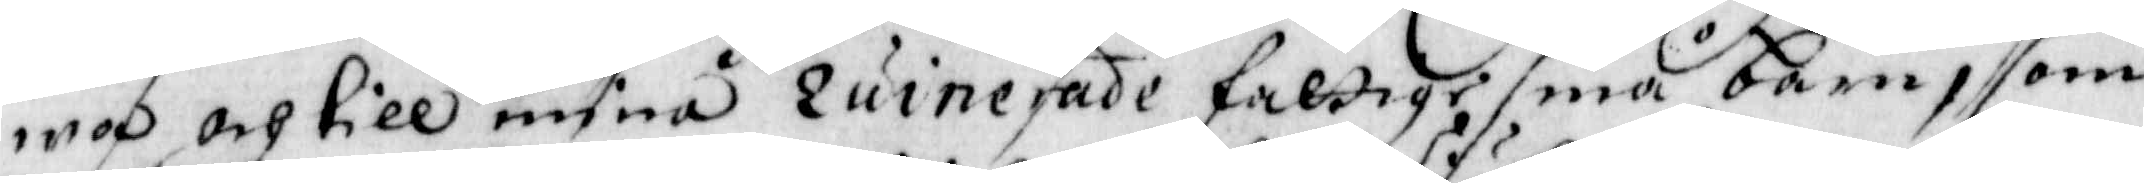wa och till mina ruinerade fattige små barn, som
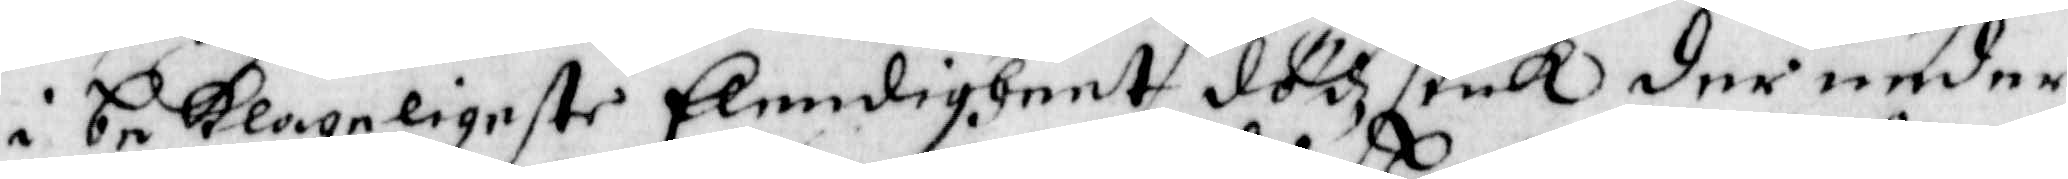i beklageligeste Elendigheet dödzsiuk der neder
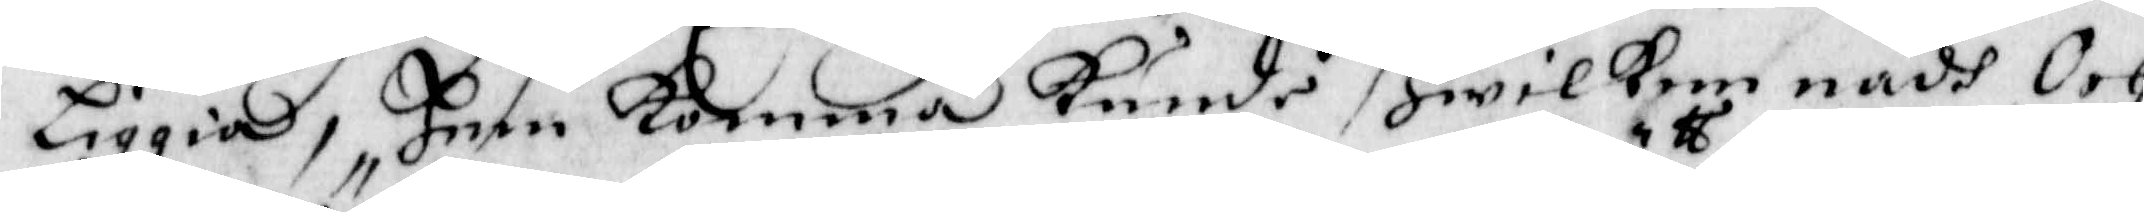Liggia, Hem komma kunde Hwilken nådh Och
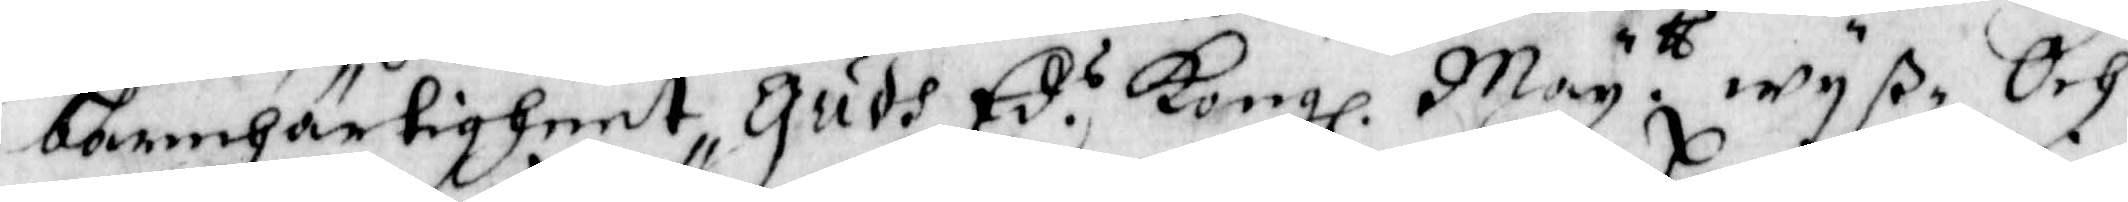bermhärtigheet Gudh Ed.s Kongl. May.tt wys Och
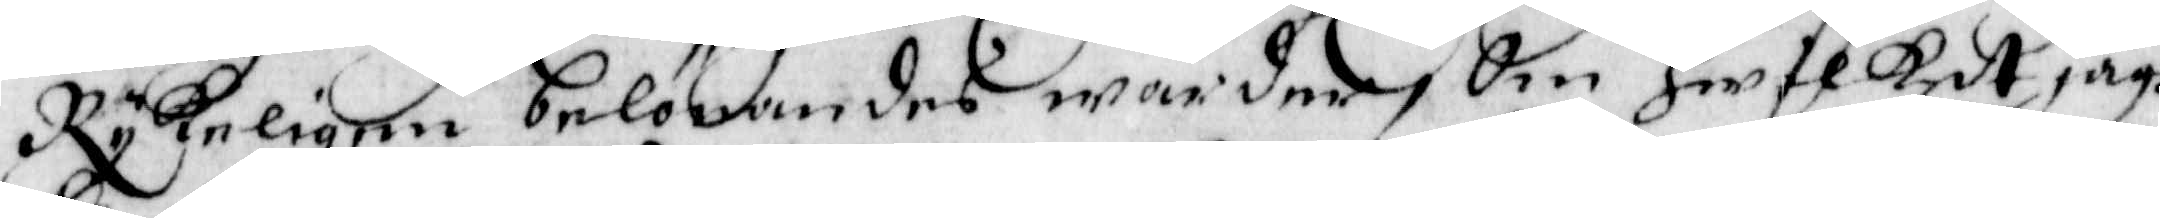Rykeligen belönandes warder, Om Hwilket jagh
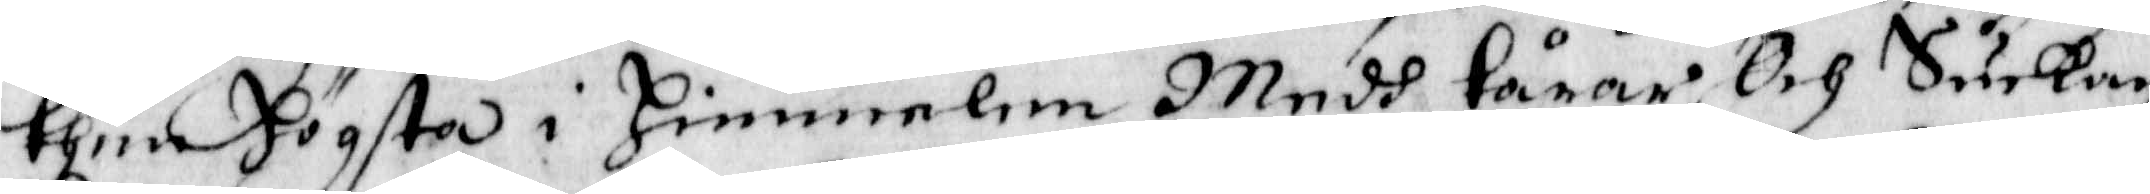then Högsta i Himmelen Medh tårar Och Suckan
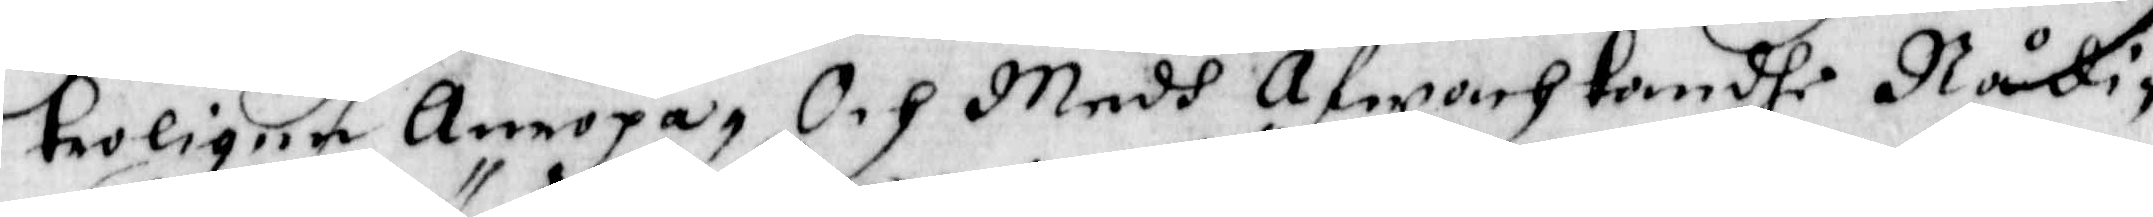troligen Anropa, Och Medh Afwonh tondhe Nådi¬
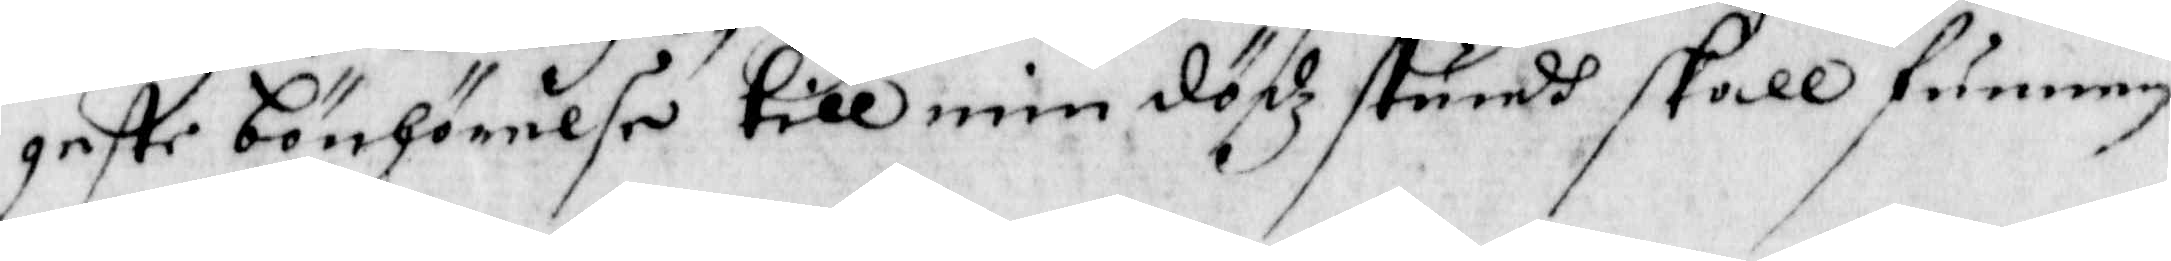getse bönhörelse till min dödz stundh skall funnen
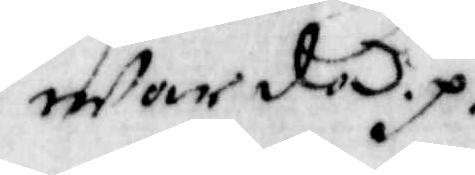war död.p.
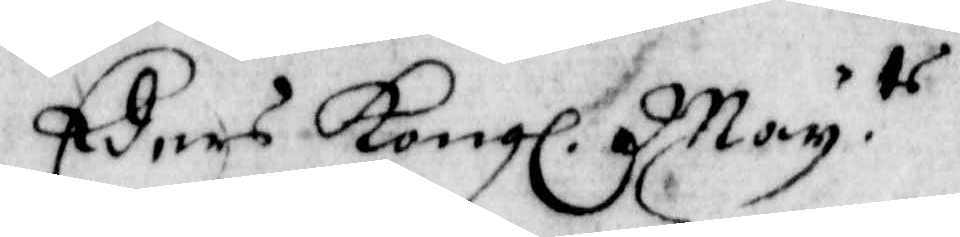Eders Kongl. May.ts
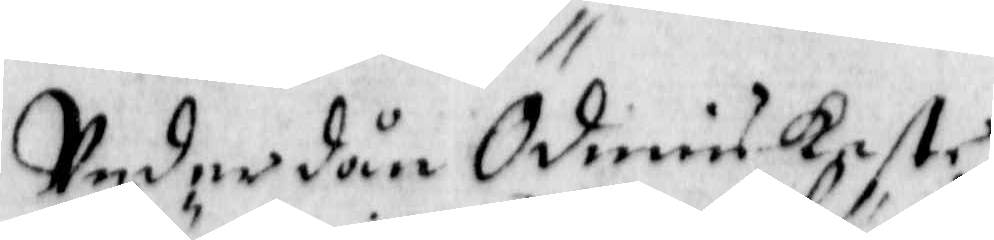underdånÖdmiukaste
